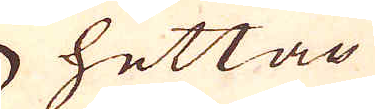hettan
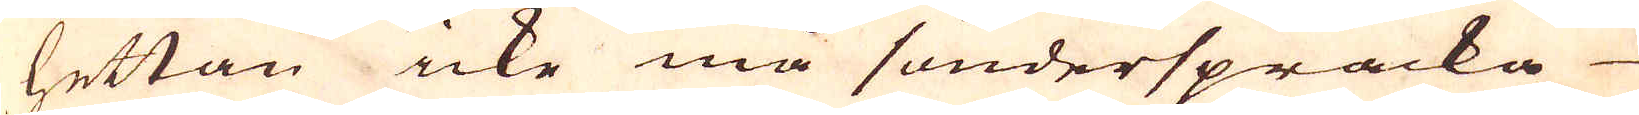hettan icke må sönderspräcka
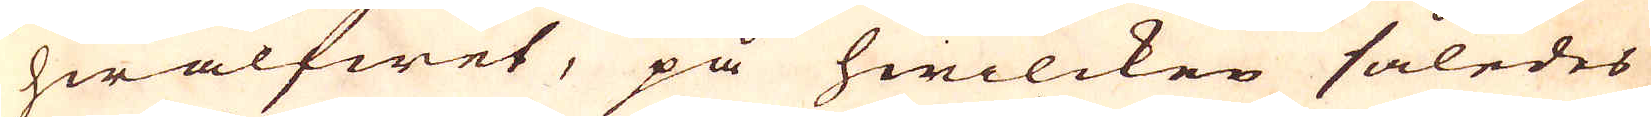hwalfwet, på hwilcken således
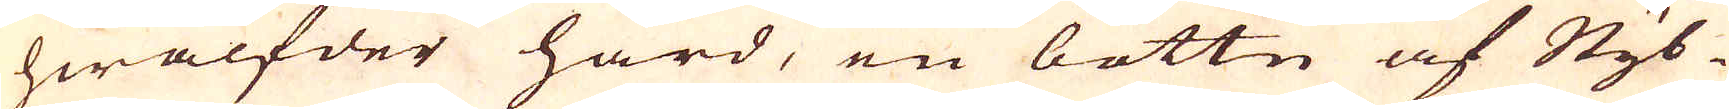hwälfder härd, en bottn af Styb-
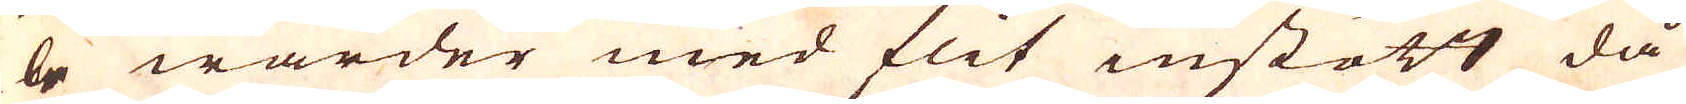be warder med flit instött då
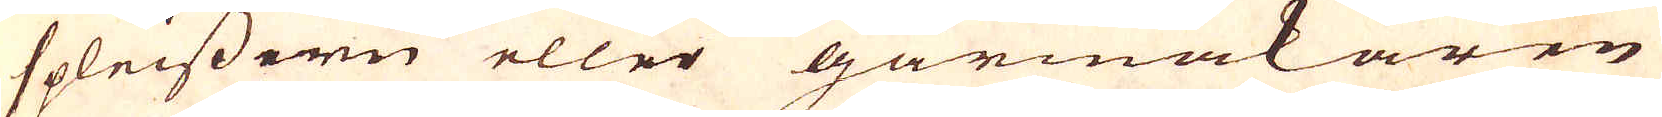spleissern eller gårmakaren
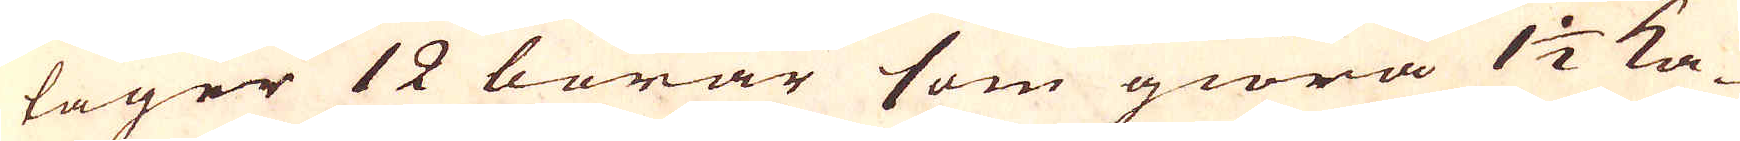tager 12 borar som giöra 1 1/2 ka-
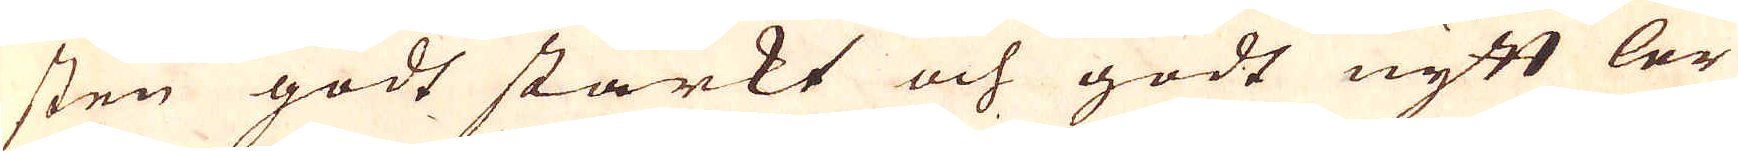sten godt starkt och godt nytt ler
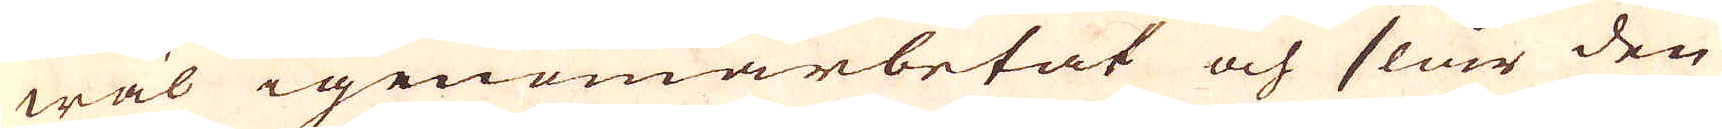wäl igenomarbetat och slår den
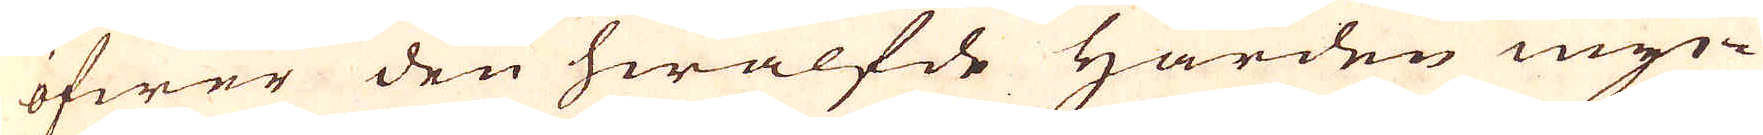öfwer den hwälfde Härden myc-
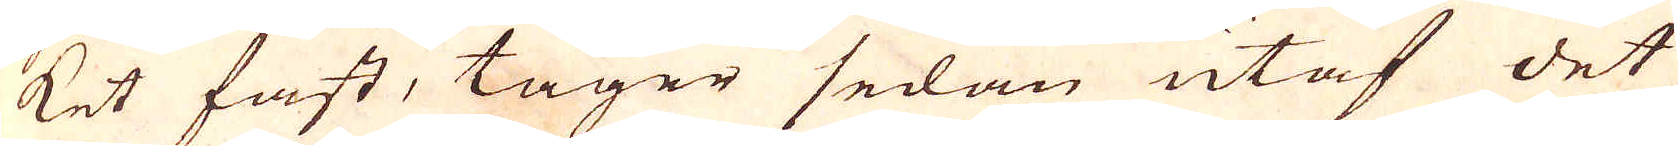ket fast, tager sedan utaf det
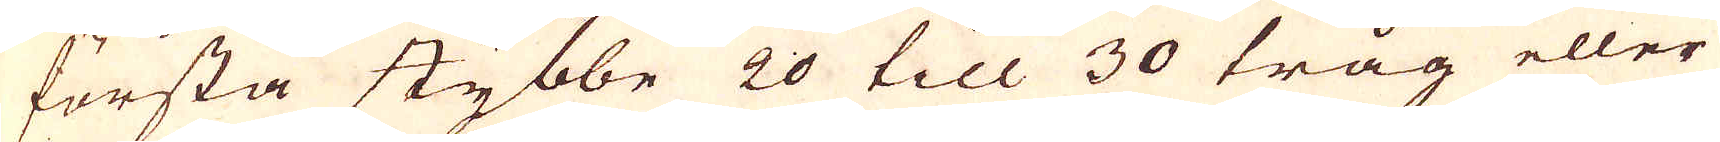första stybbe 20 till 30 tråg eller
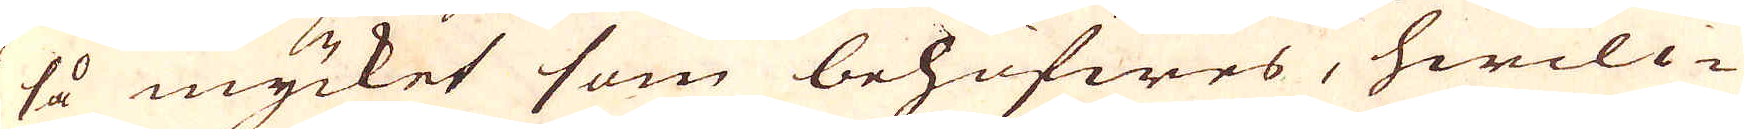så mycket som behöfwes, hwilc-
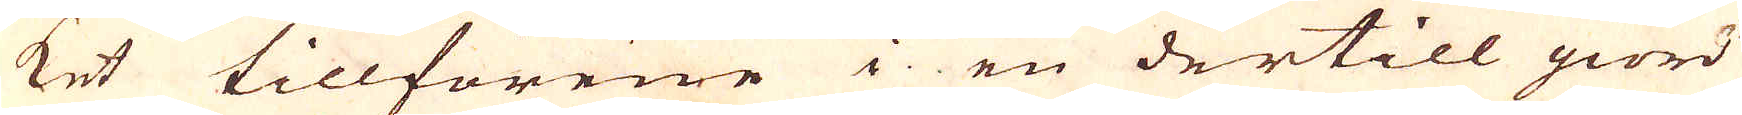ket tillförene i en dertill giord
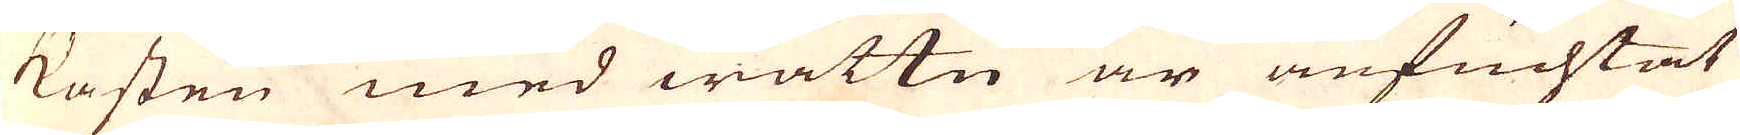kasten med wattn är anfuchtat
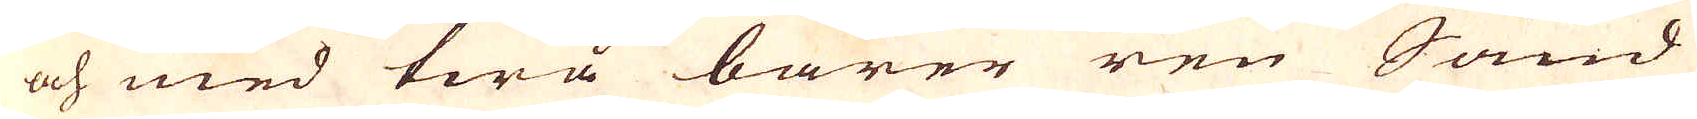och med twå barer ren Sand
